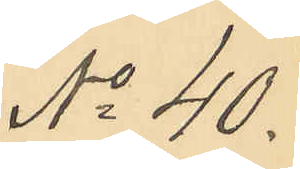No 40.
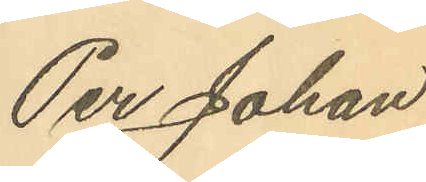Per Johan
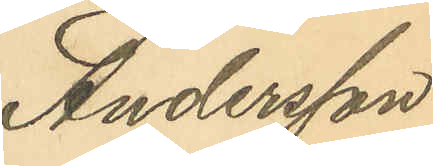Andersson
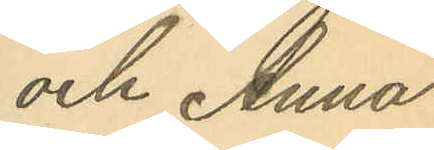och Anna
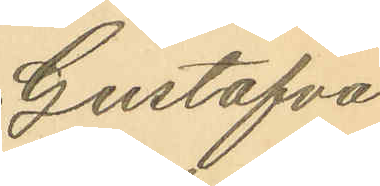Gustafva
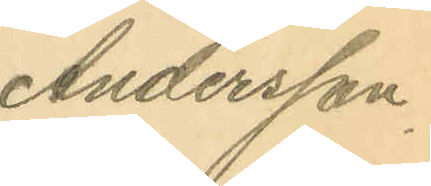Andersson.
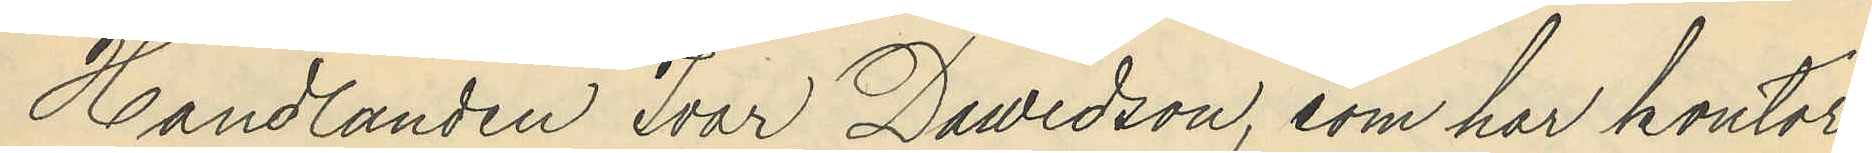Handlanden Ivar Dawidson, som har kontor
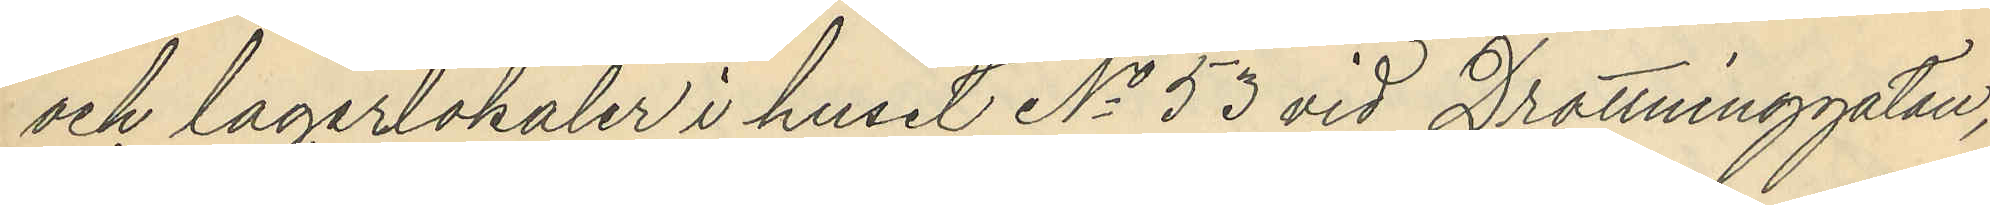och lagerlokaler i huset No 53 vid Drottninggatan,
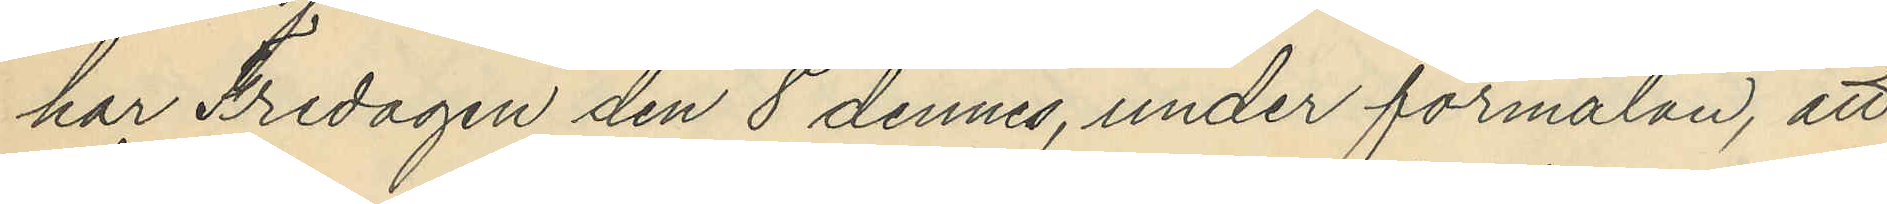har Fredagen den 8 dennes, under förmälan, att
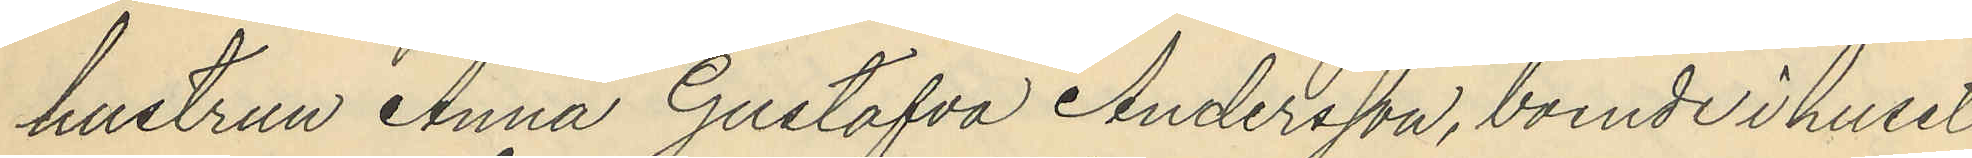hustrun Anna Gustafva Andersson, boende i huset
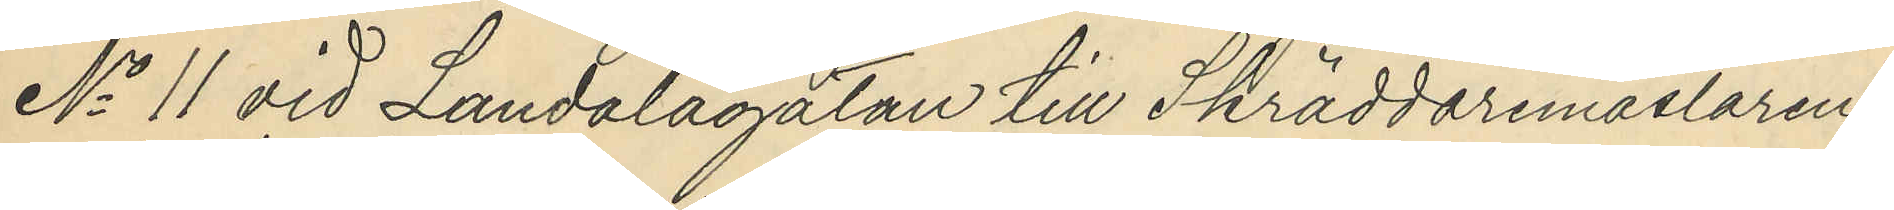No 11 vid Landalagatan till Skräddaremästaren
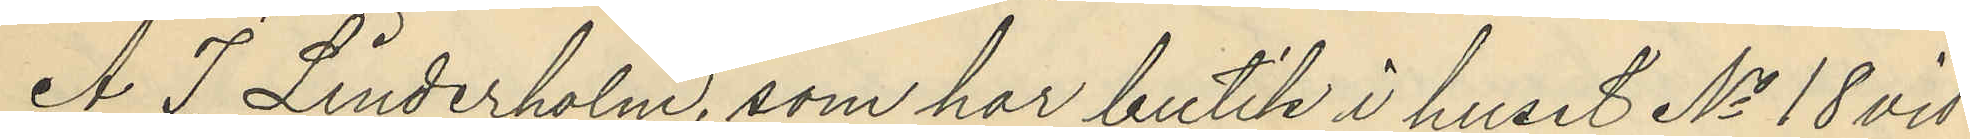A. J. Linderholm, som har butik i huset No 18 vid
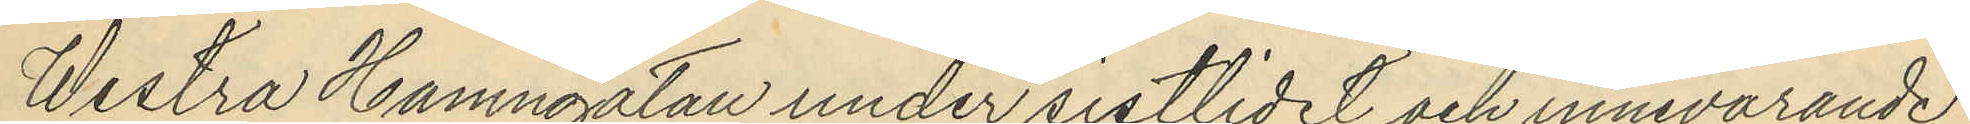Westra Hamngatan under sistlidet och innevarande
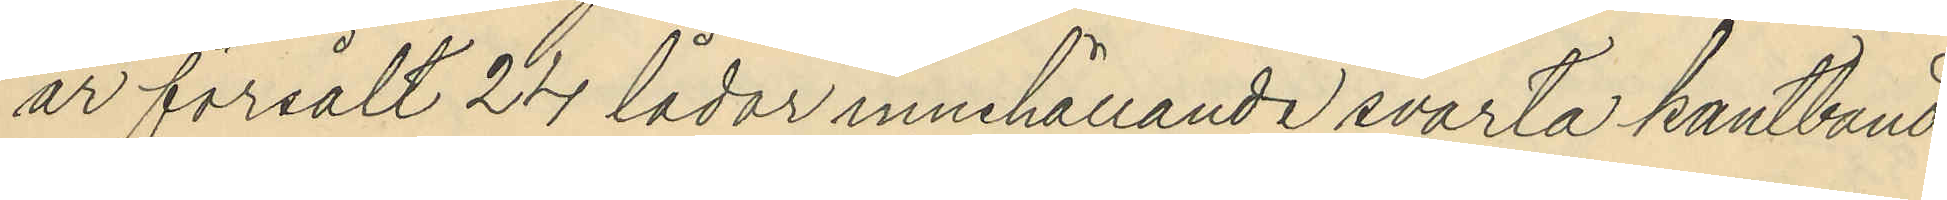år försålt 24 lådor innehållande svarta kantband
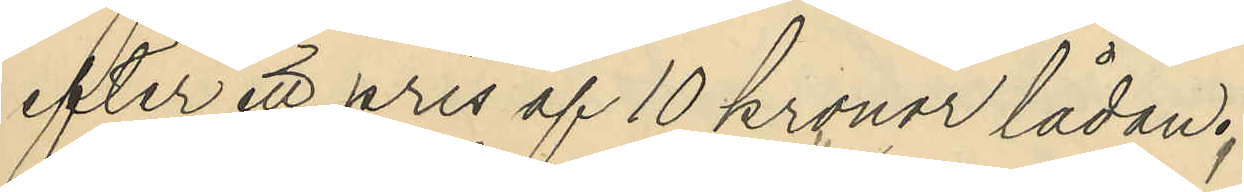efter ett pris af 10 kronor lådan;
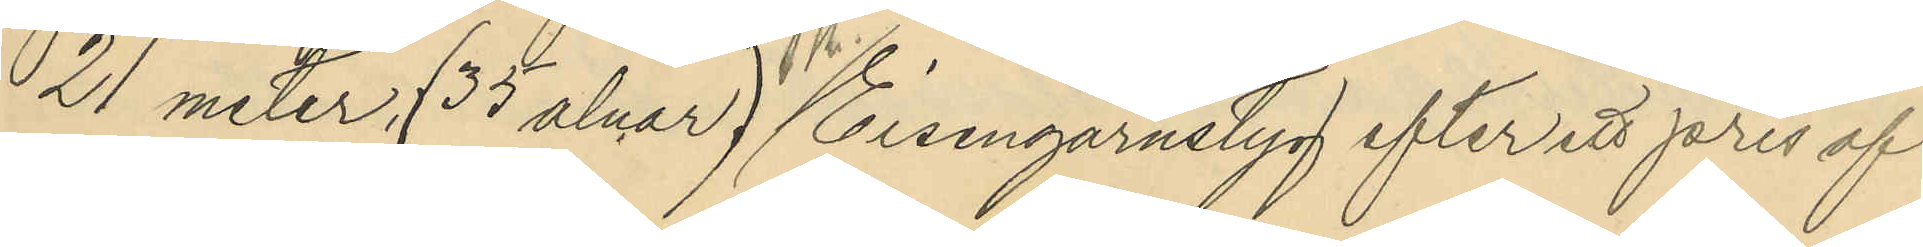21 meter , (35 alnar) Eisengarnstyg efter ett pris af
